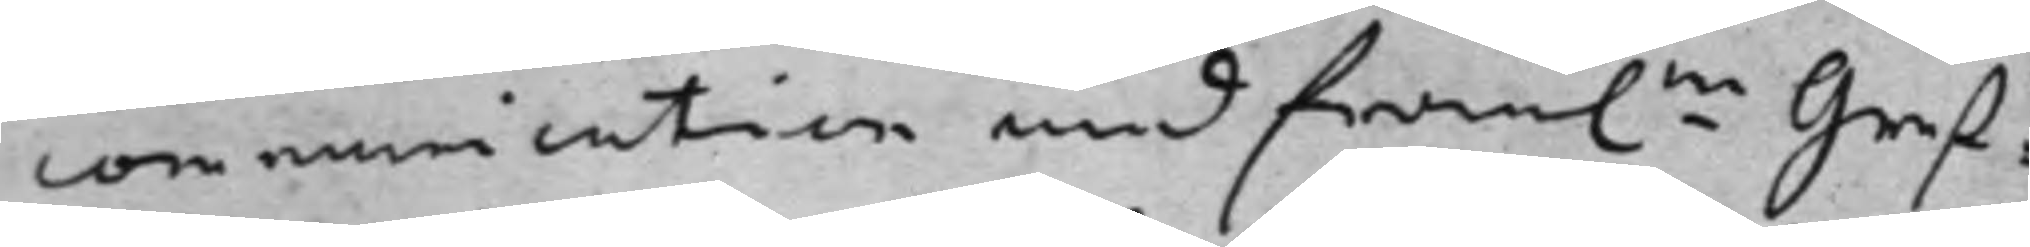communication med framl.ne Gref¬
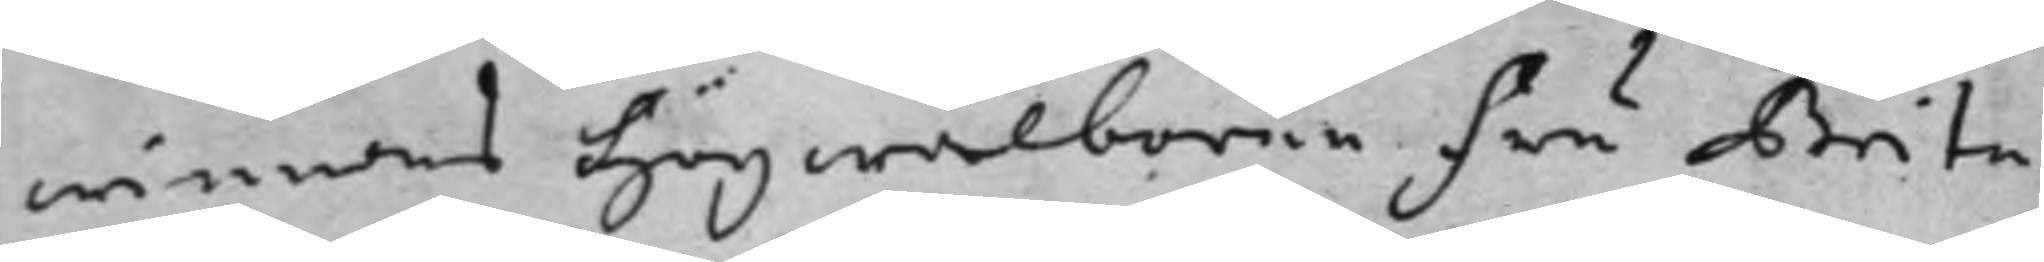winnans Högwälborne Fru Brita
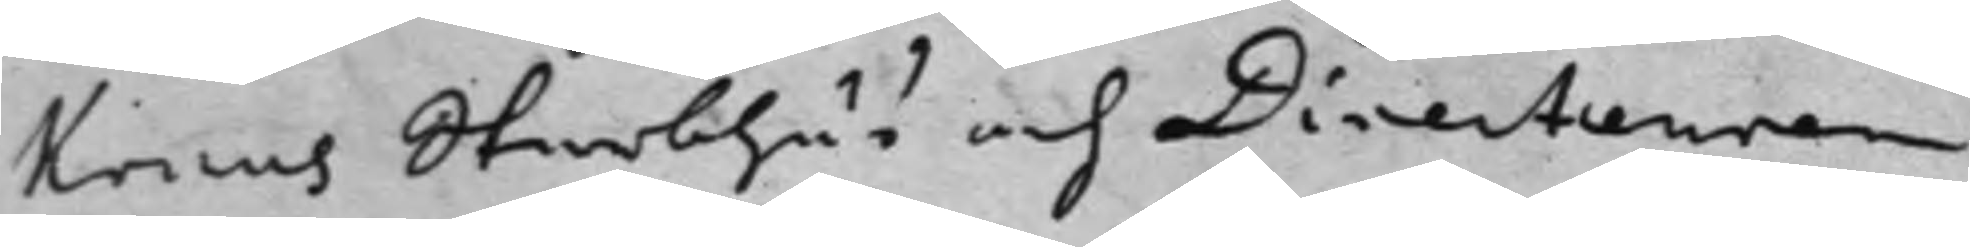Kruus Sterbhus och Directeuren
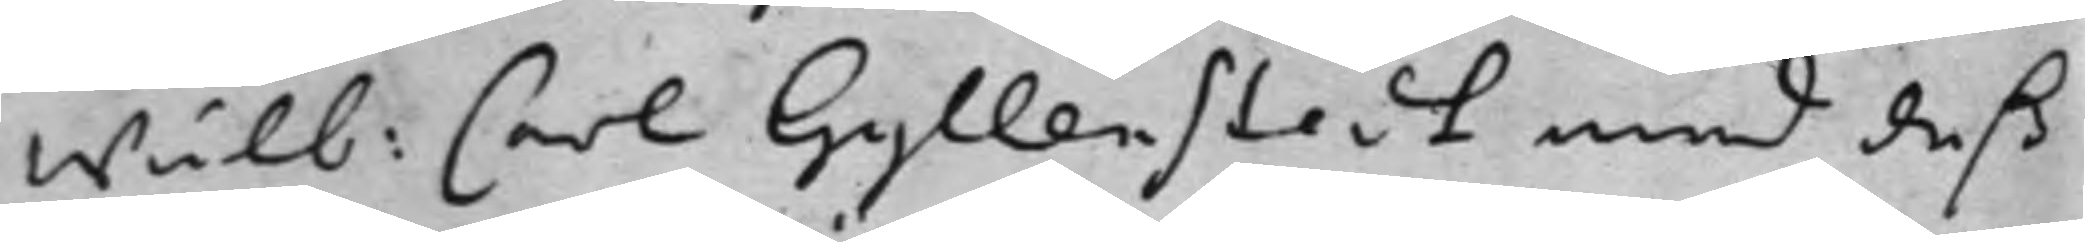Wälb: Carl Gyllenstedt med deß
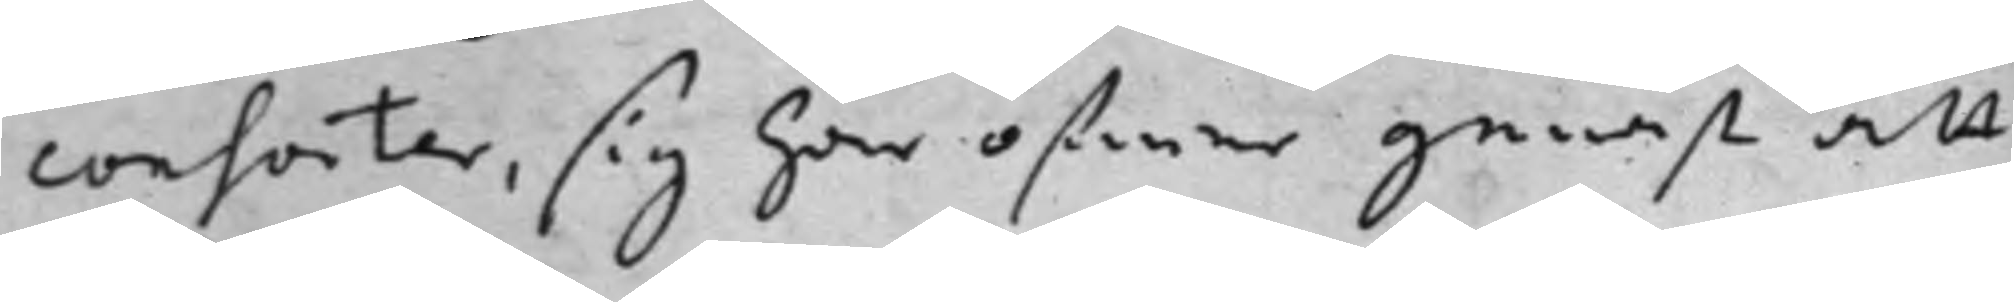consorter, sig här öfwer genast att
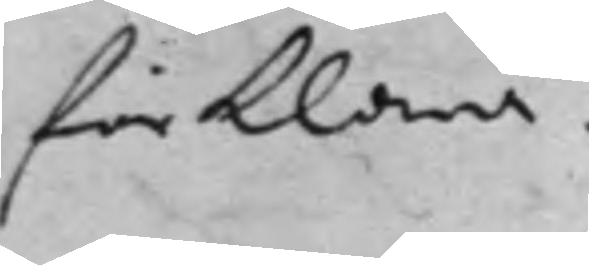förklara.
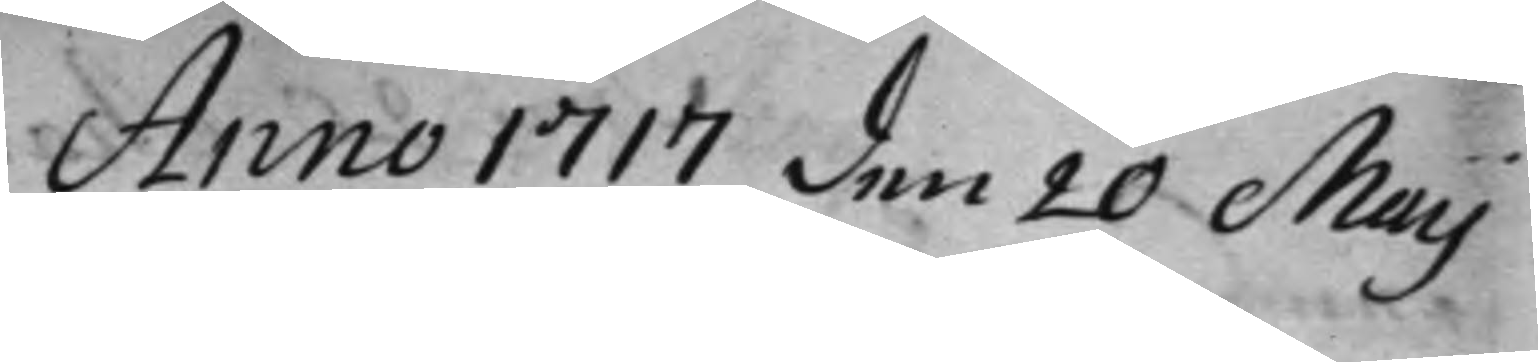Anno 1717 den 20 Maij
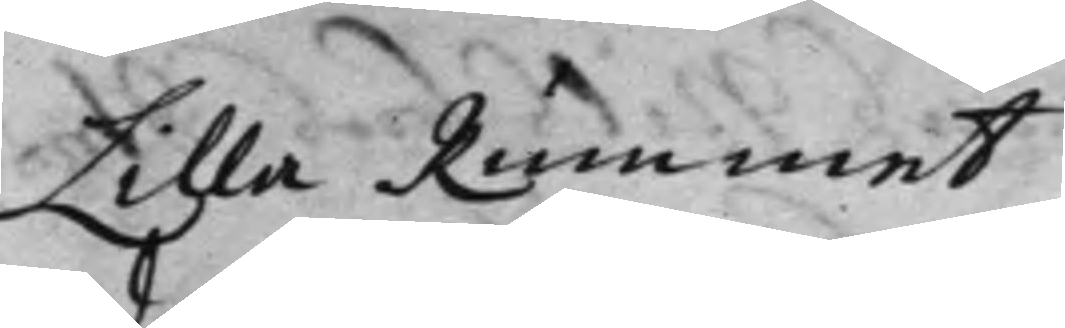Lilla Rummet
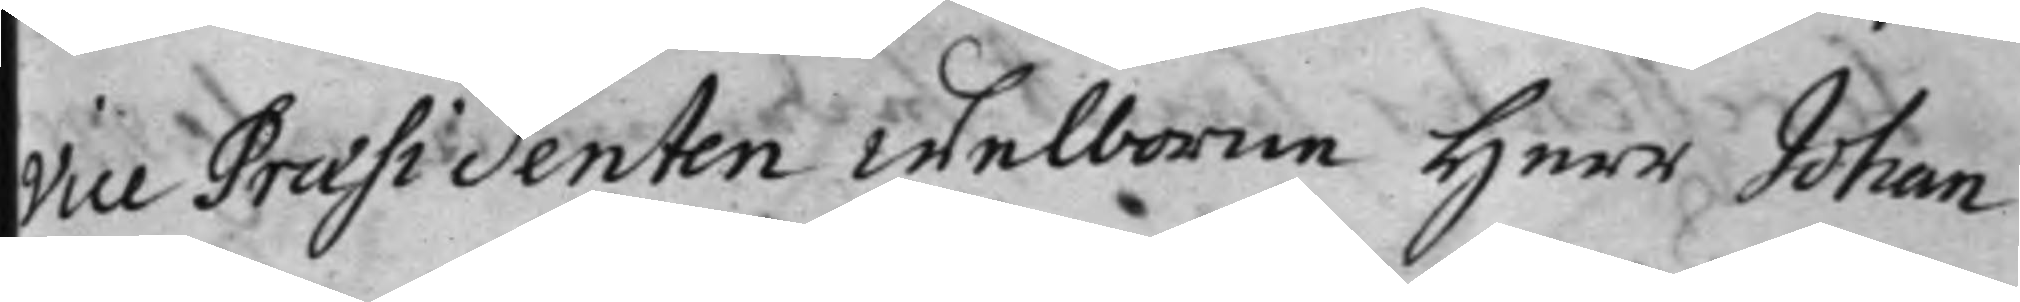Vice Praesidenten Welborne Herr Johan
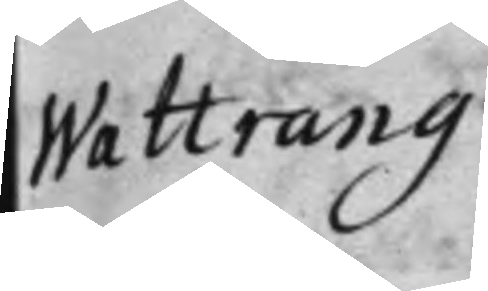Wattrang
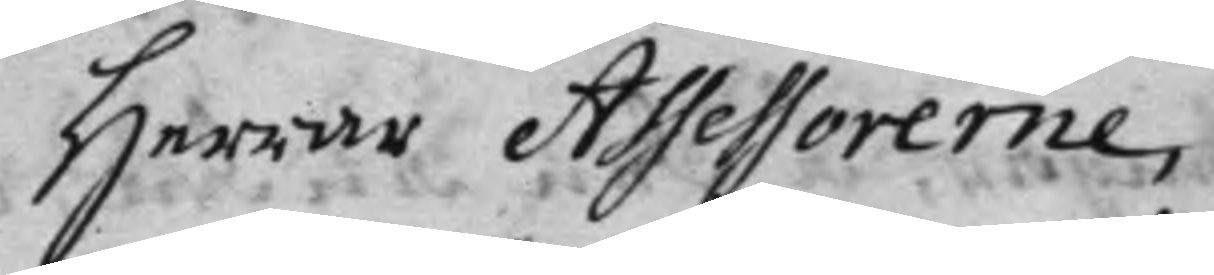Herrar Assessorerne,
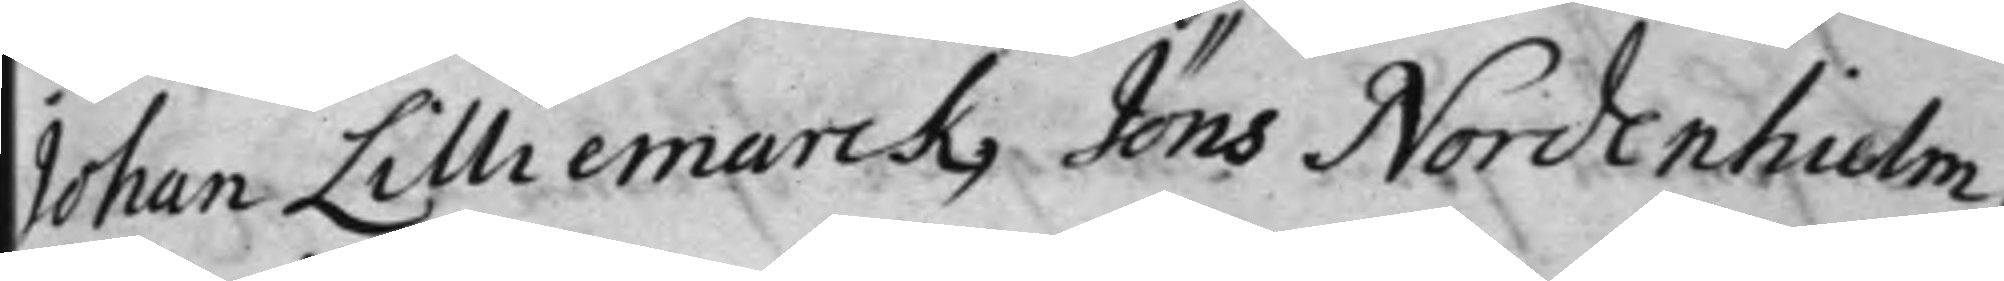Johan Lilliemarck, Jöns Nordenhielm,
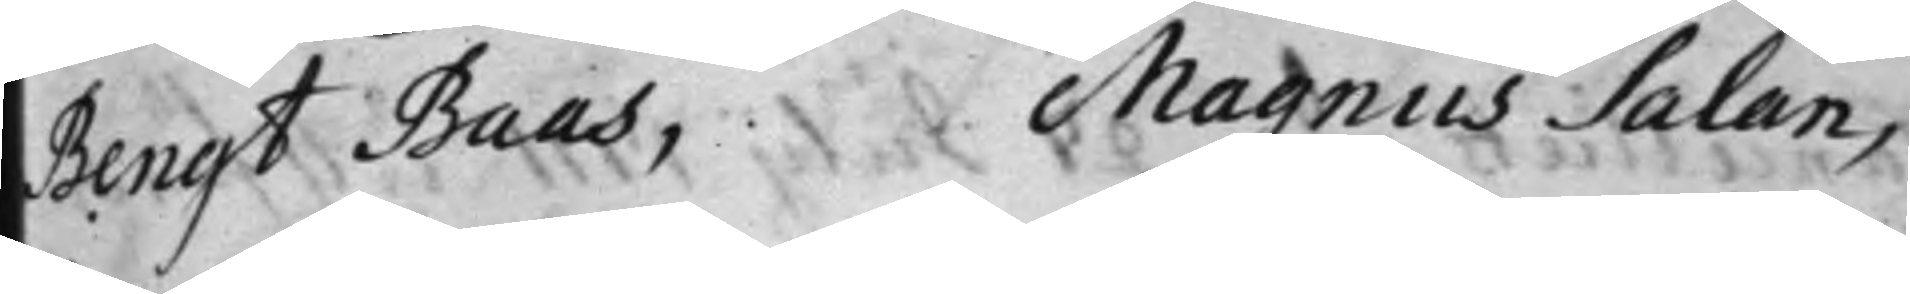Bengt Baas, Magnus Salan,
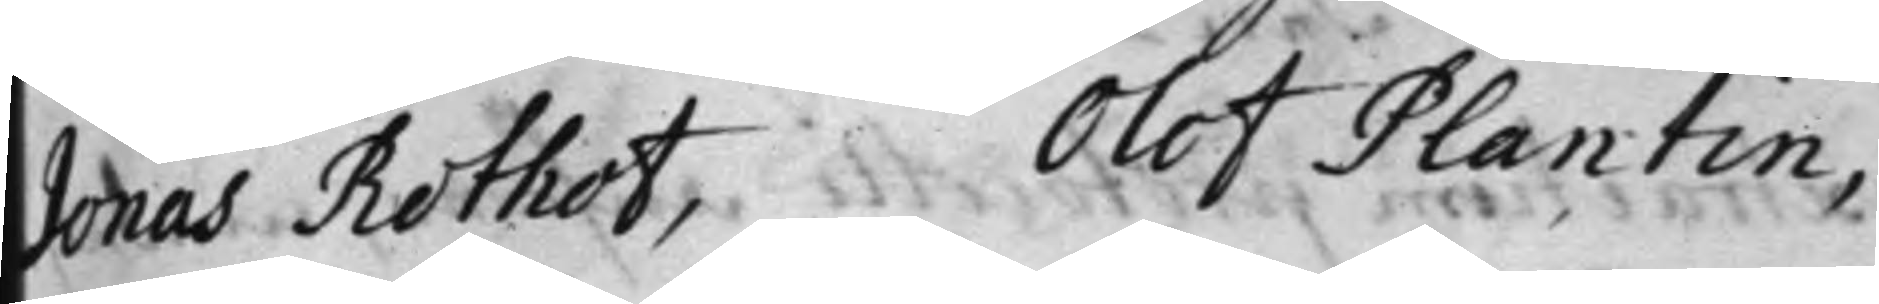Jonas Rothof, Olof Plantin,
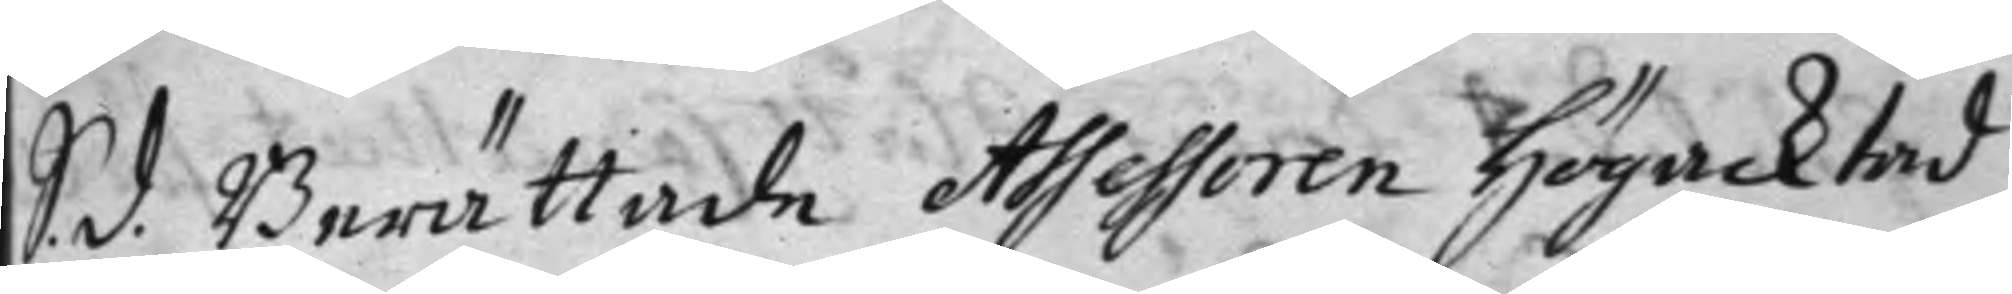S. d. Berättade Assessoren Högacktad
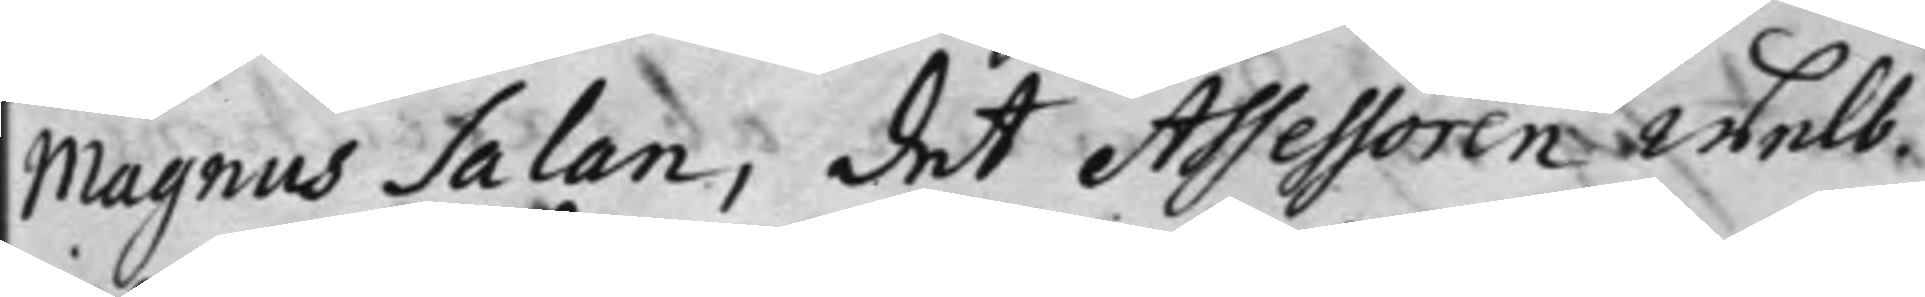Magnus Salan, det Assessoren Welb.
